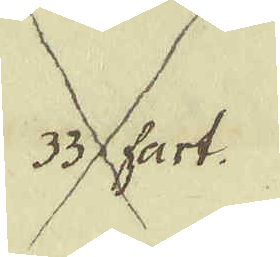33 fart.
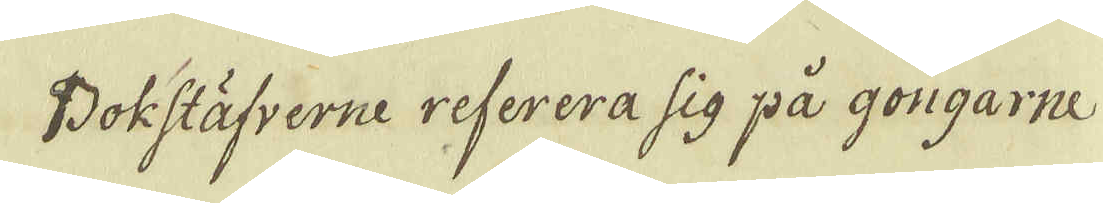Bokstäfverne referera sig på gongarne
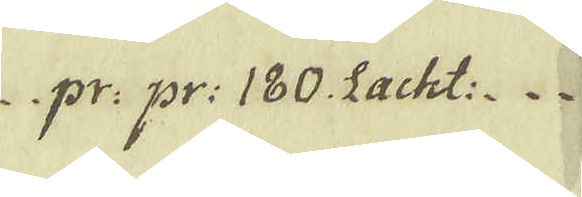pr: pr: 180. Lacht:
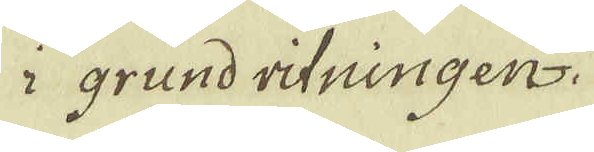i grund ritningen.
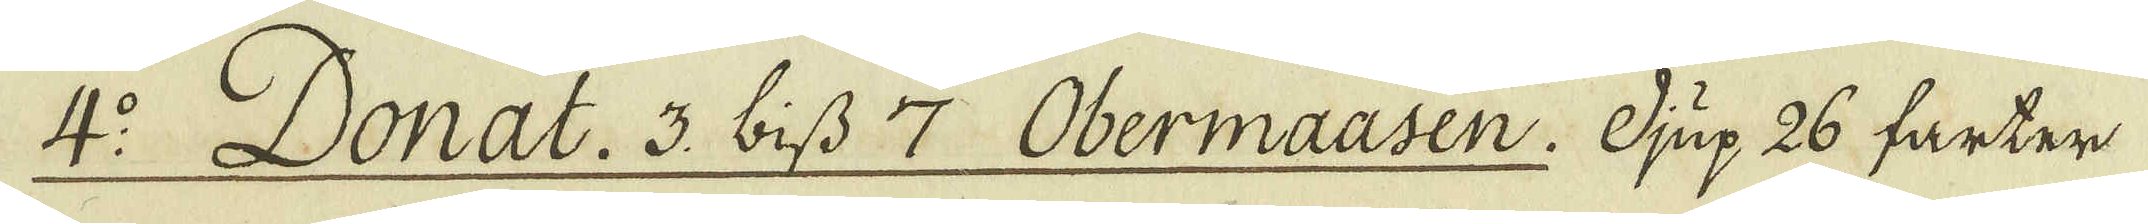4:o Donat. 3. biss 7 Obermaasen. Djup 26 farter
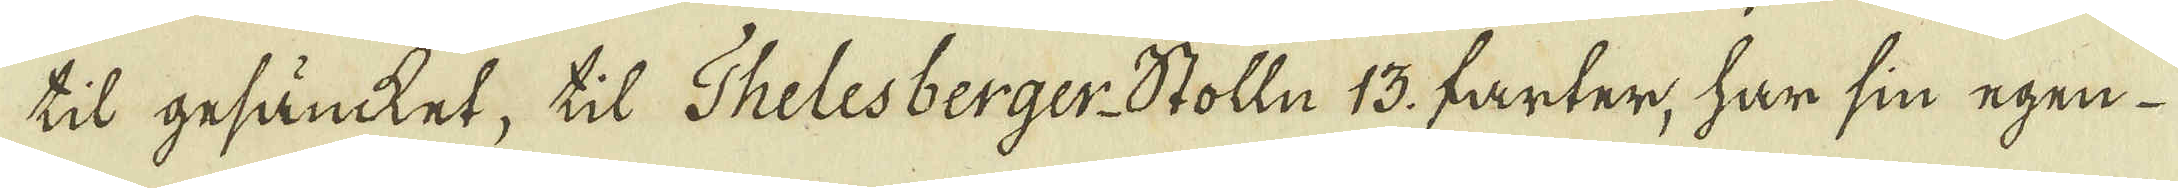til gesäncket, til Thelesberger-Stolln 13. farter, har sin egen
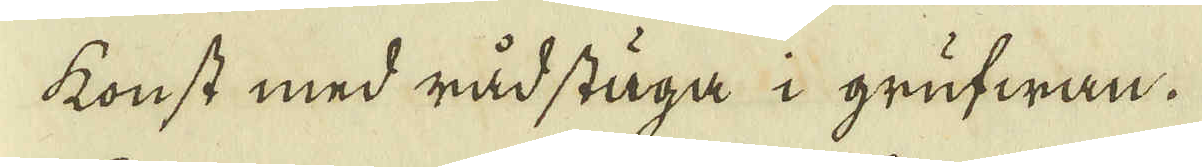konst med rådstuga i grufwan.
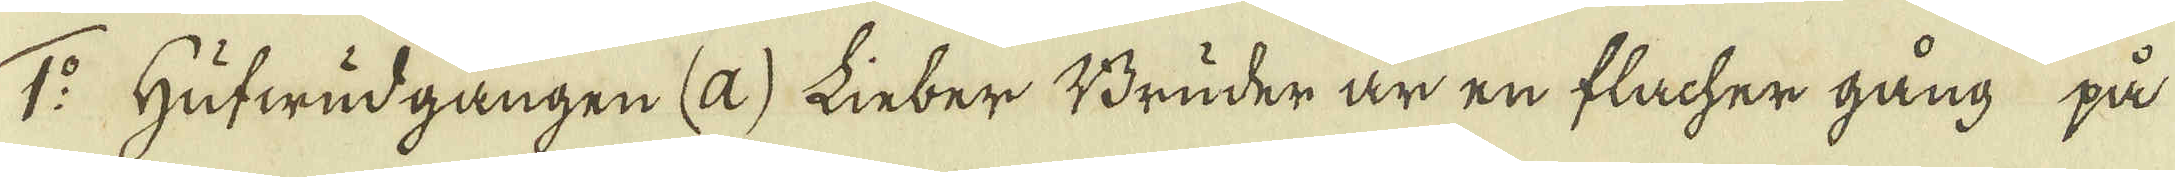1:o Hufwudgången (a) Linber Bruder är en flacher gång på
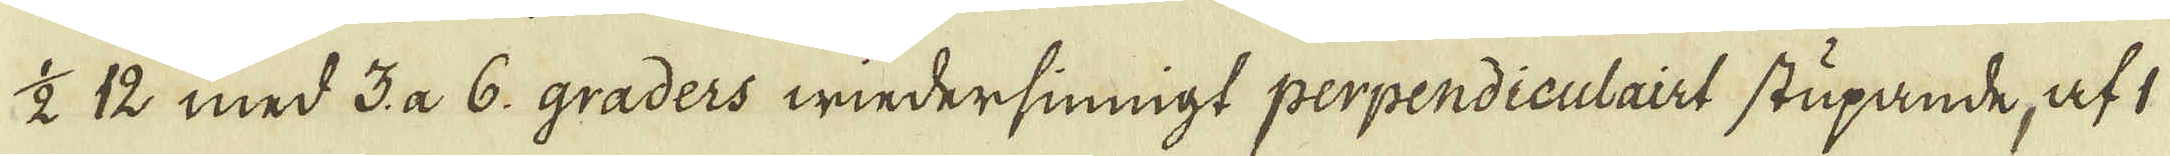1/2 12 med 3. a 6. graders wiedersiningt perpendiculairt stupande, af 1
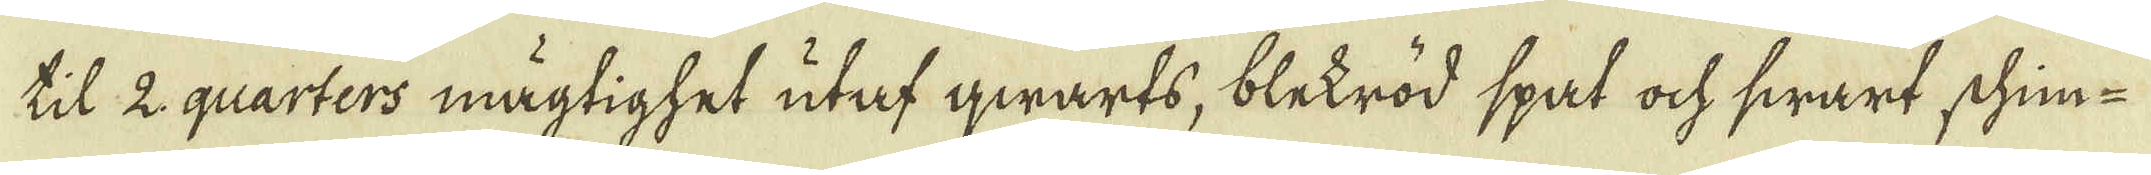til 2 quarters mägtighet utaf qwarts, blekröd spat ock swart schim-
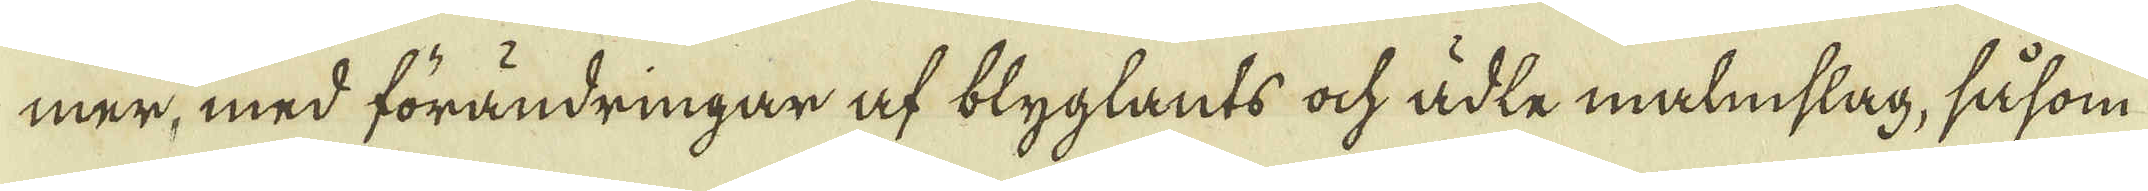mer, med förändringar af blyglants ock ädle malmslag, såsom
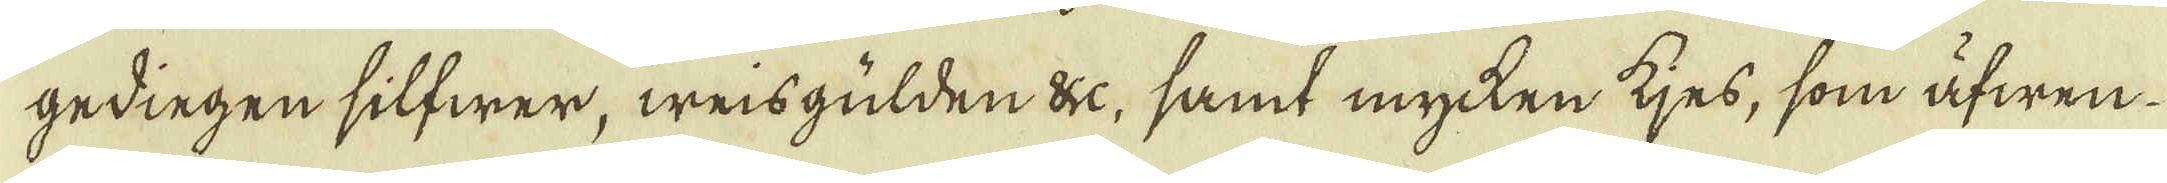gedingen silfwer, weisgulden &c, samt mycken kjes, som äfwen
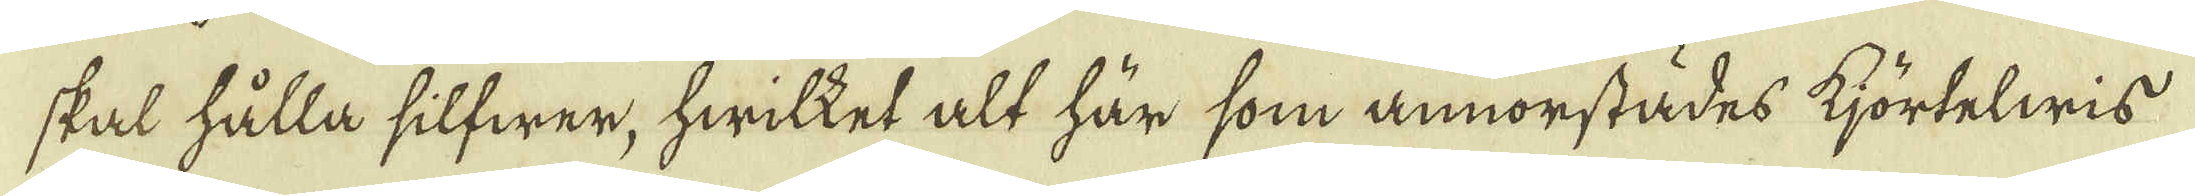skal hålla silfwer, hwilket alt här som annorstädes kjörtelwis
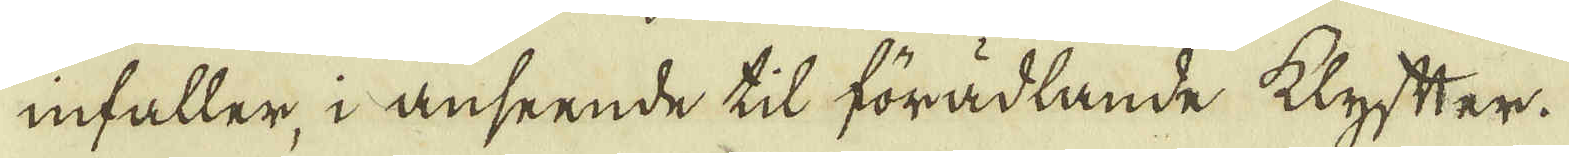infaller, i anseende til förädlande klyfter.
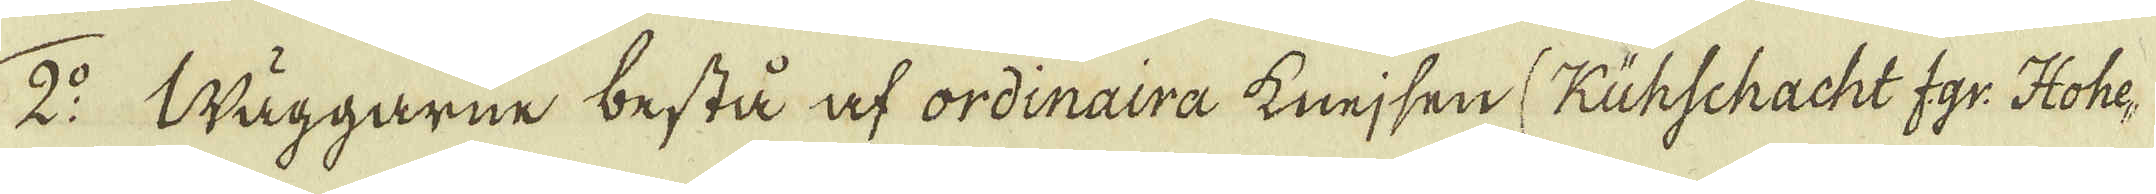2:o Wäggarne bestå at ordinaira knejsen (Kühschacht f.gr: Hohe-
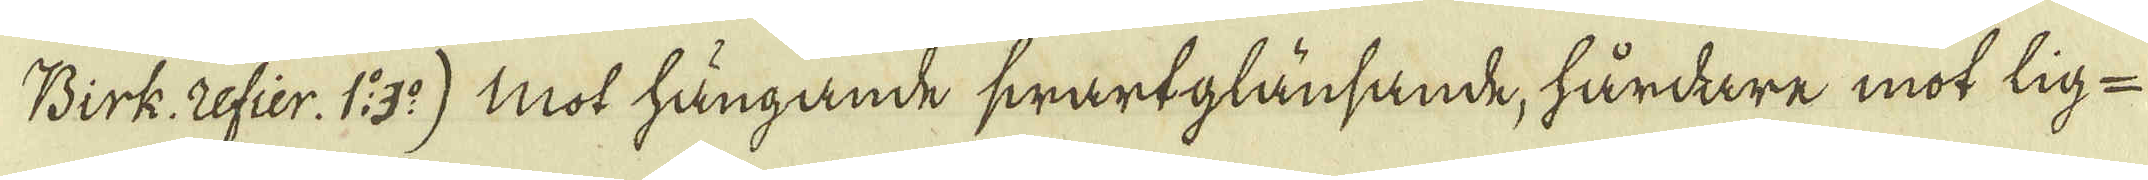Birk. Refier. 1: 3:o) mot hängande swartglänsande, hårdare mot lig-
